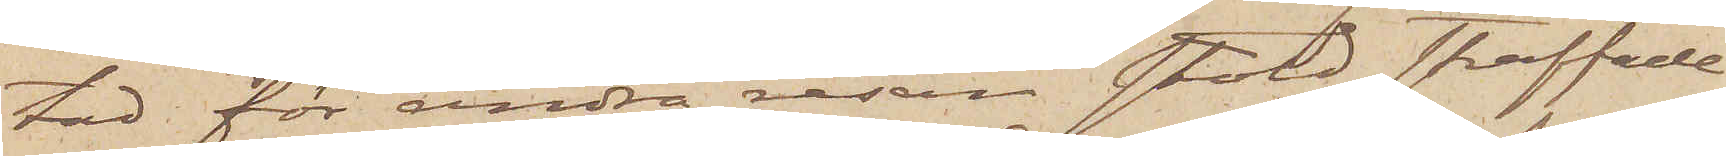tad för andra resan stöld straffade
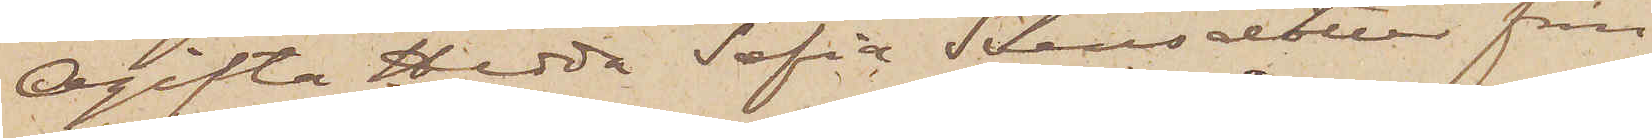Ogifta Hedda Sofia Svensdotter från
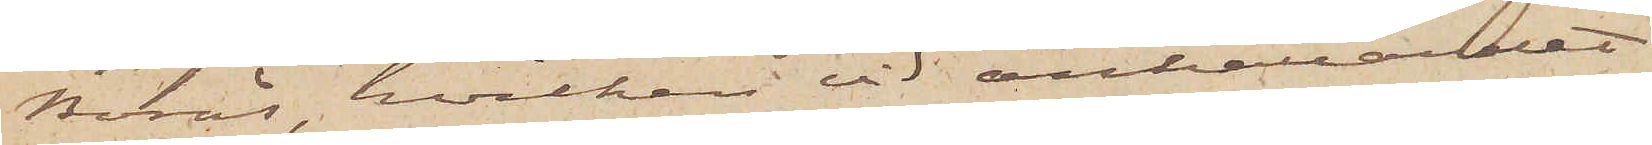Borås, hvilken vid anhållandet
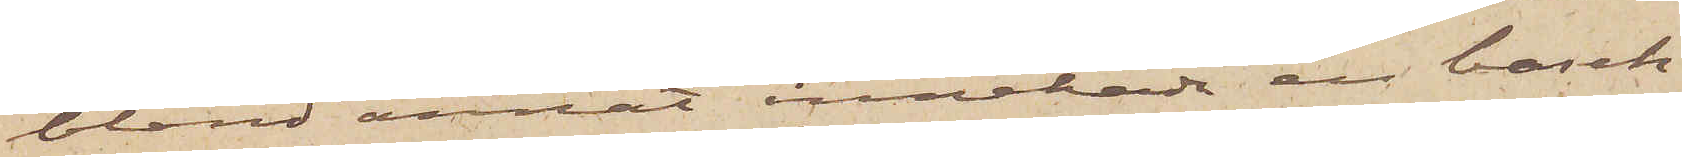bland annat innehade en basch¬
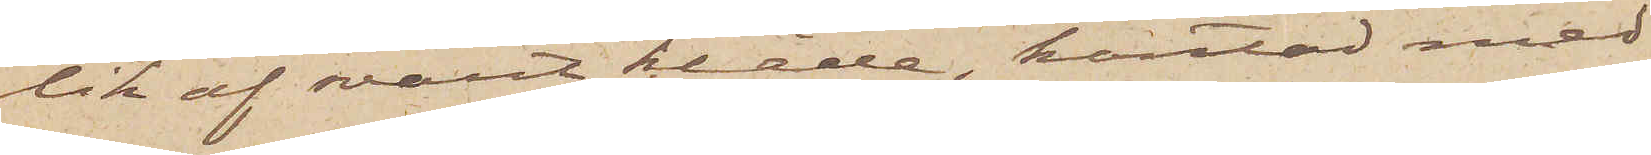lik af svart kläde, kantad med
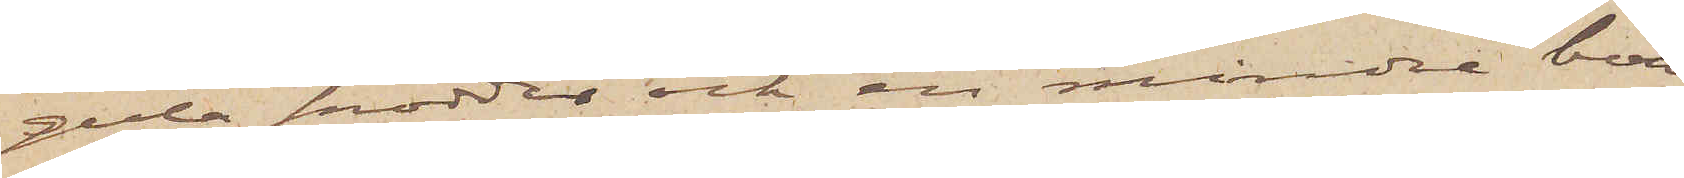gula snoddar och en mindre boa
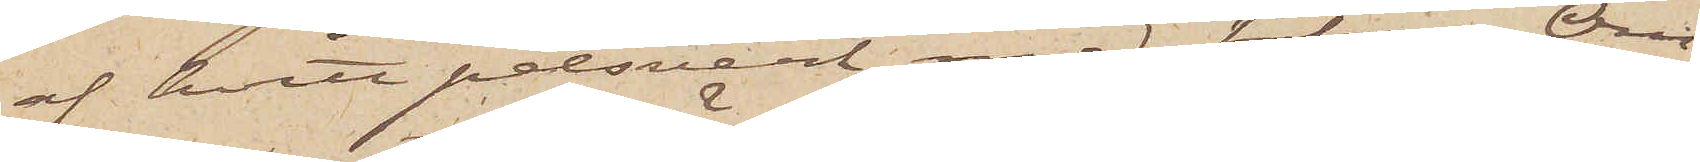af hvitt pelsverk med tofsar. Om
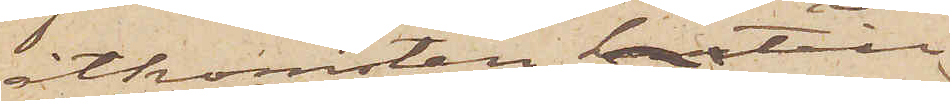åtkomsten härtill
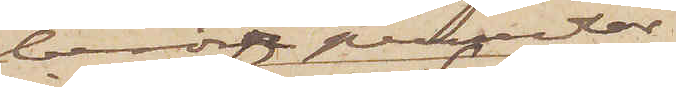berörde persedlar
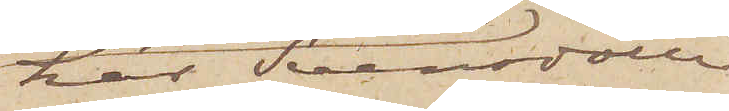har Svensdotter
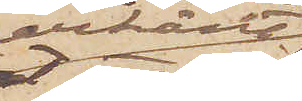erkänt
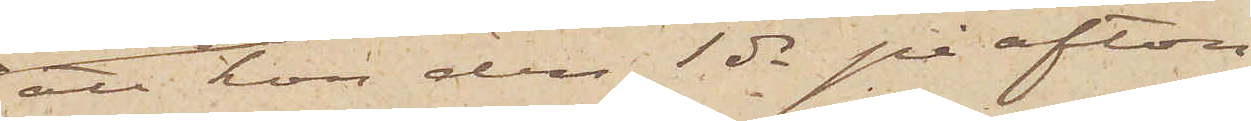att hon den 1 ds på afton
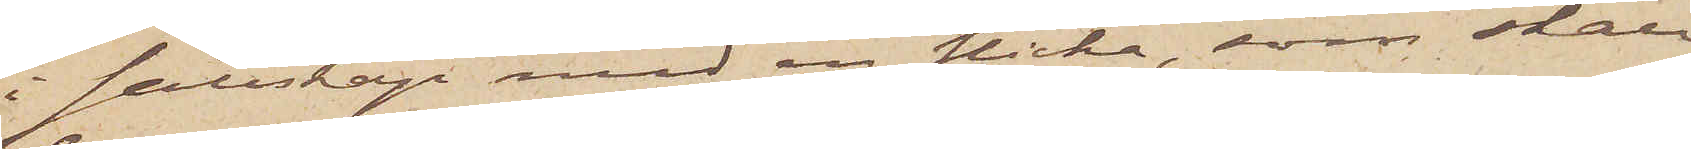i sällskap med en flicka, som skall
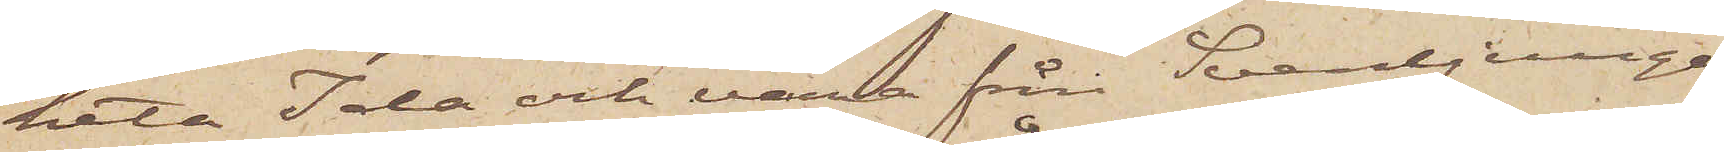heta Ida och vara från Svenljunga,
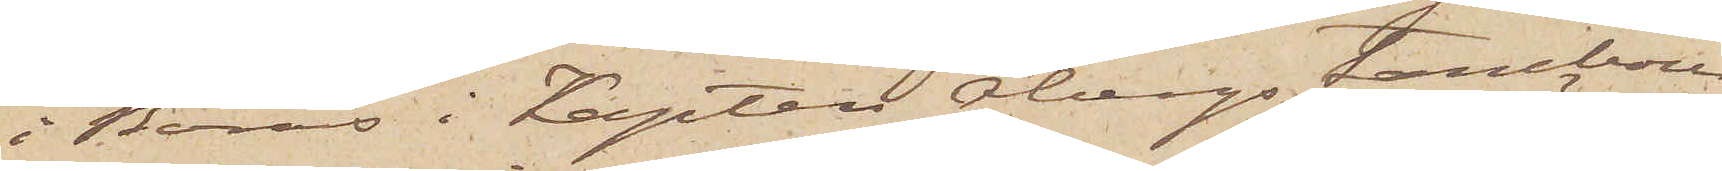i Borås i Kapten Åbergs tambour
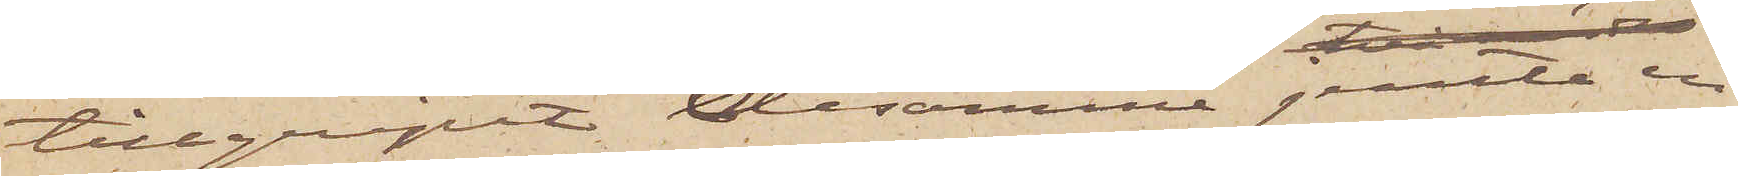tillgripit desamme jemte en
